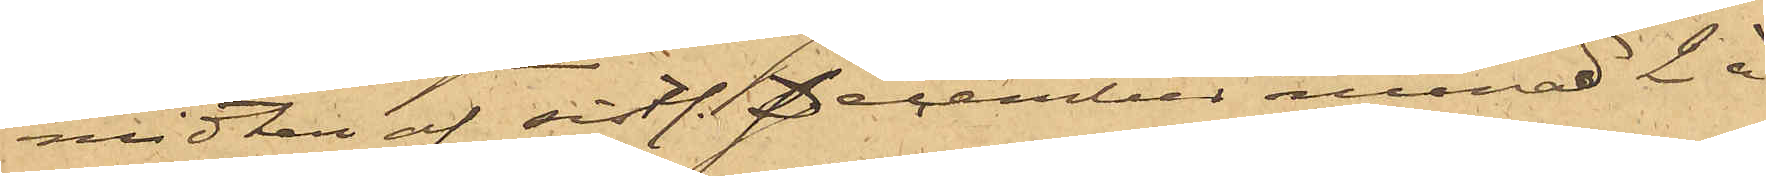midten af sist. December månad 2 à
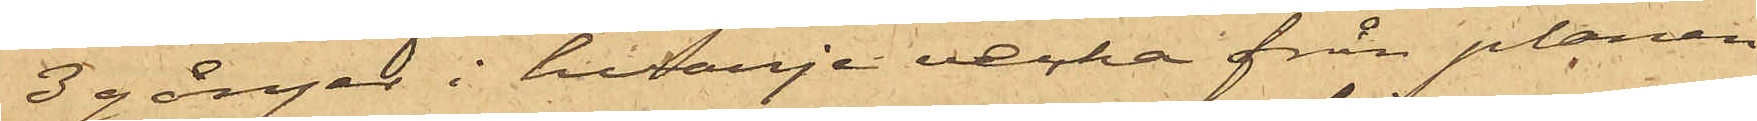3 gångar i hvarje vecka från planen
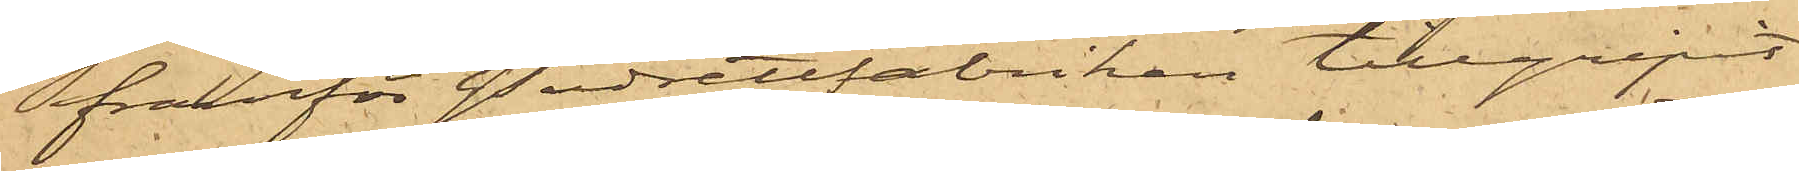framför Pudrettfabriken tillgripit
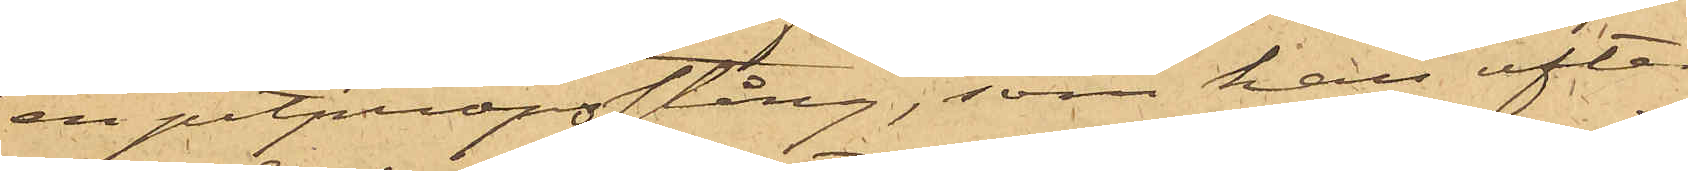en pitpropsstång, som han efter
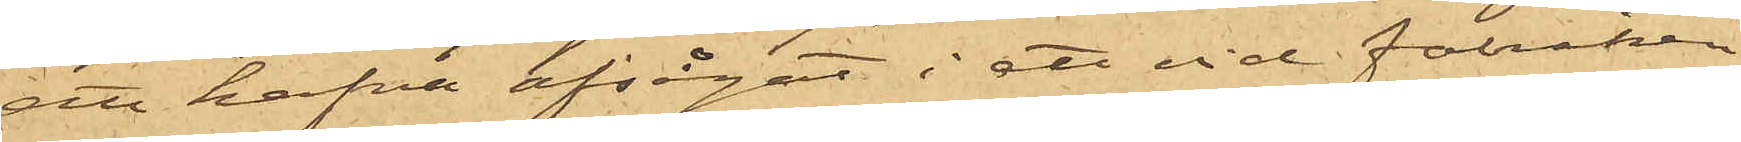att hafva afsågat i ett vid fabriken
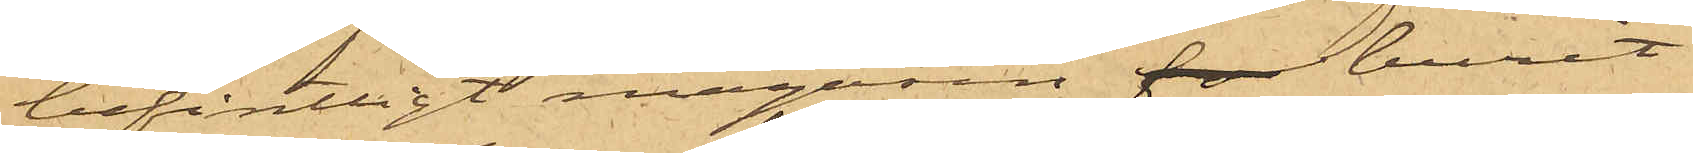befintligt magasin burit
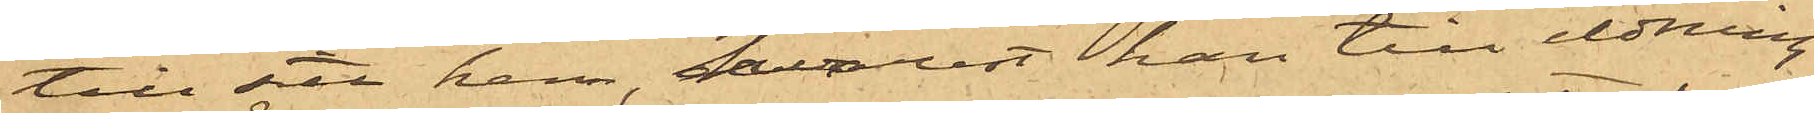till sitt hem, hvarest han till eldning
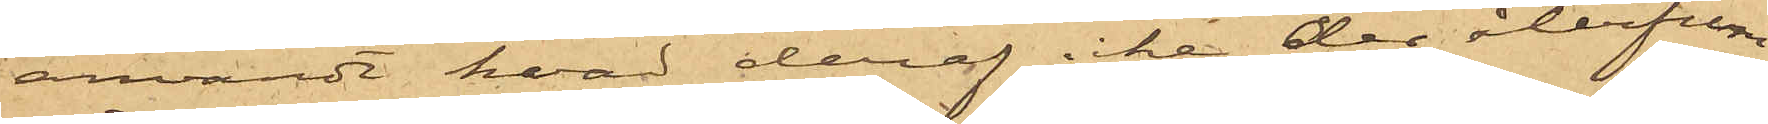användt hvad deraf icke der återfun¬
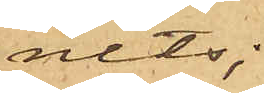nits;
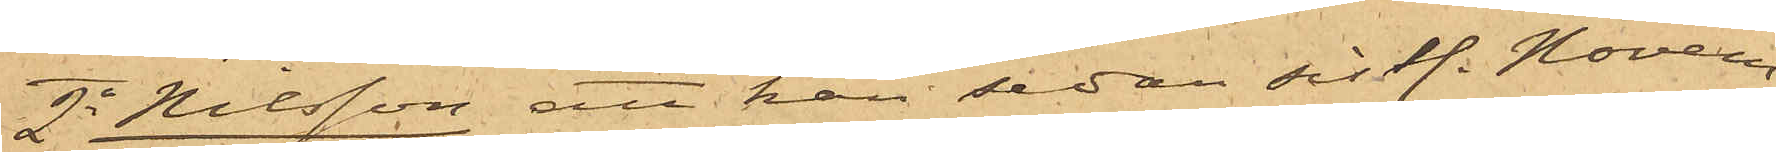2o Nilsson att han sedan sistl. Novem¬
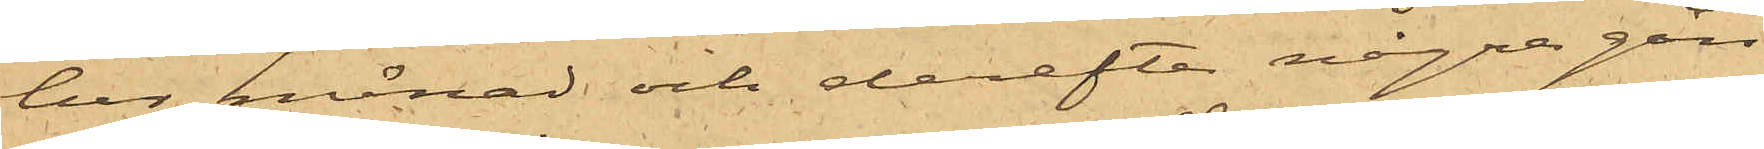ber månad och derefter några gån¬
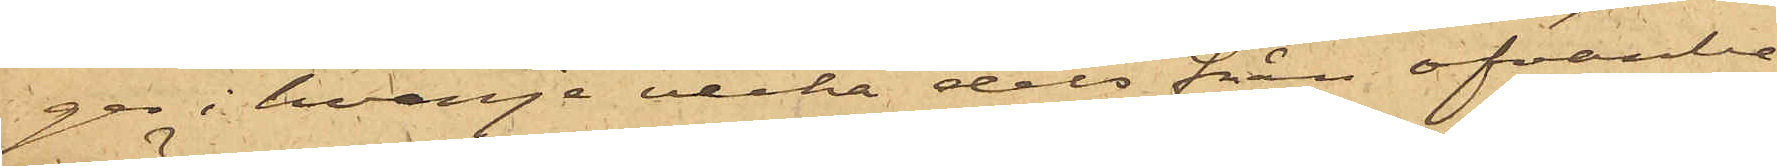ger i hvarje vecka dels från ofvanbe¬
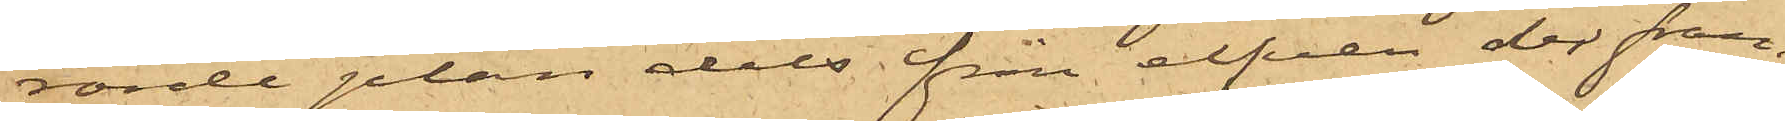rörde plan dels från elfven der fram¬
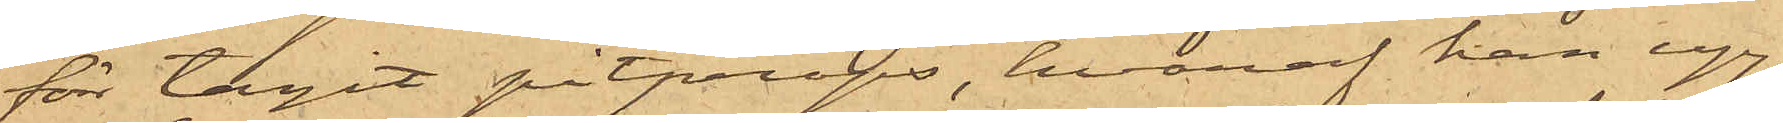för tagit pitprops, hvaraf han upp¬
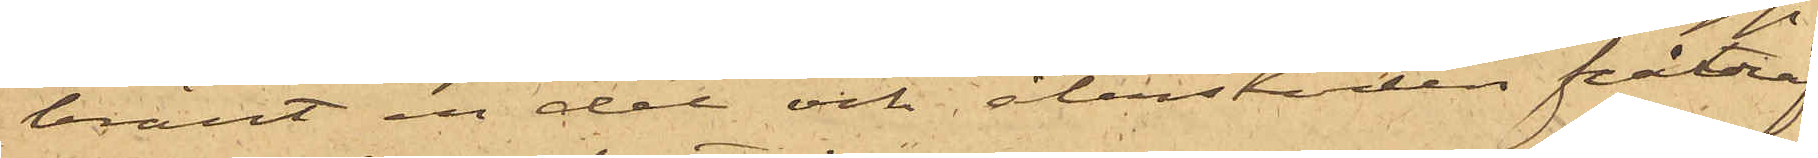bränt en del och återstoden påträf¬
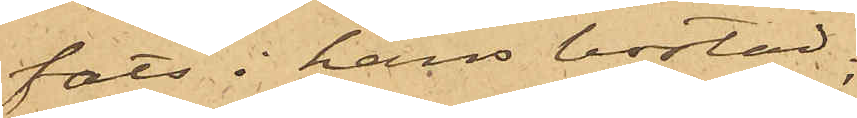fats i hans bostad;
